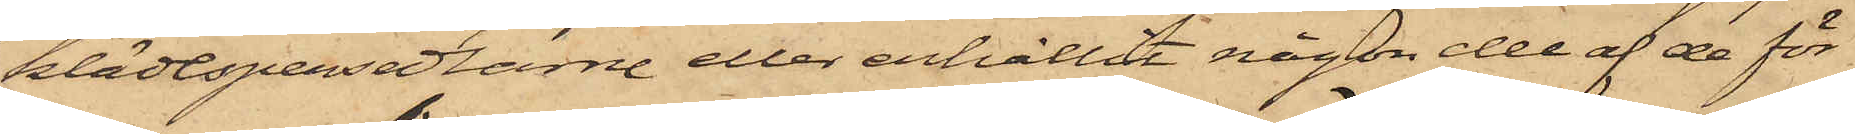klädespersedlarne eller erhållit någon del af de för
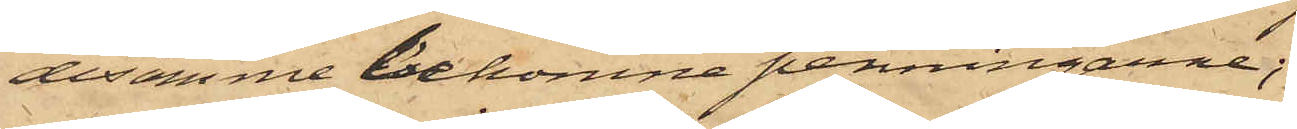desamme bekomne penningarne;
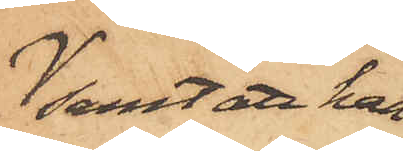samt att han
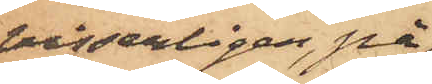visserligen, på
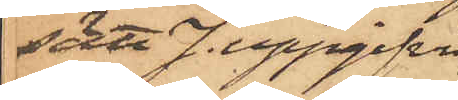sätt J. uppgifvit,
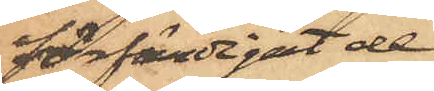förfärdigat de
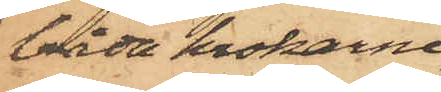båda krokarne,
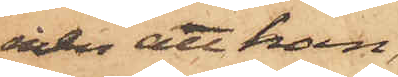men att han,
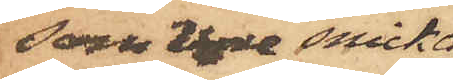som vore snicka¬
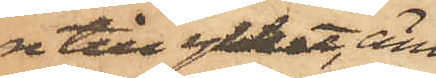re till yrket, äm¬
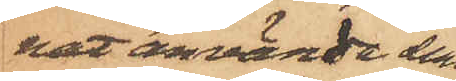nat använda dem
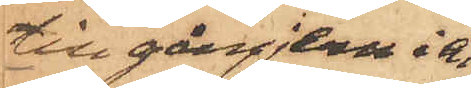till gångjern i en
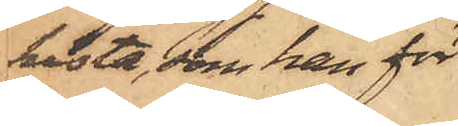kista, som han för¬
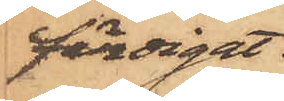färdigat.
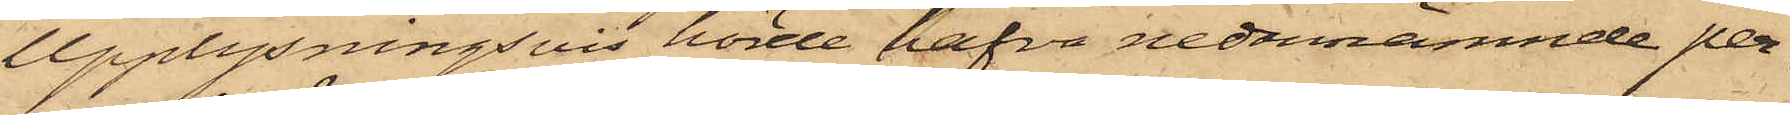Upplysningsvis hörde hafva nedannämnde per¬
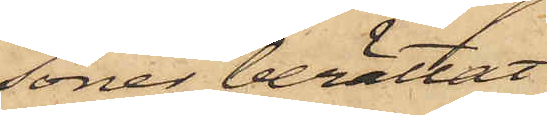soner berättat:
